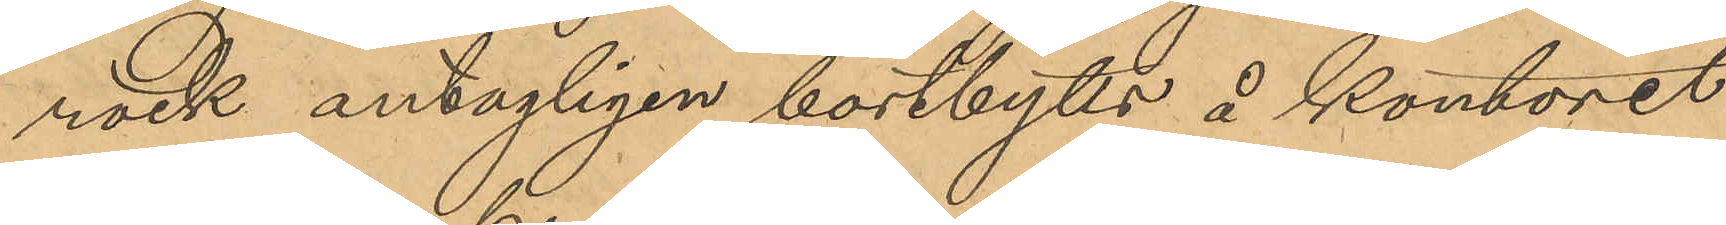rock antagligen bortbytts å kontoret
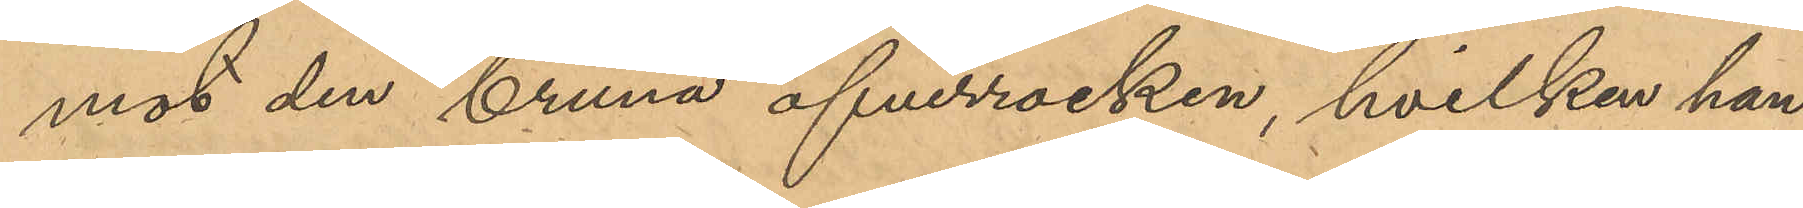mot den bruna öfverrocken, hvilken han
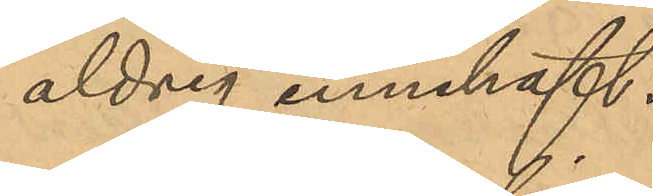aldrig innehaft.
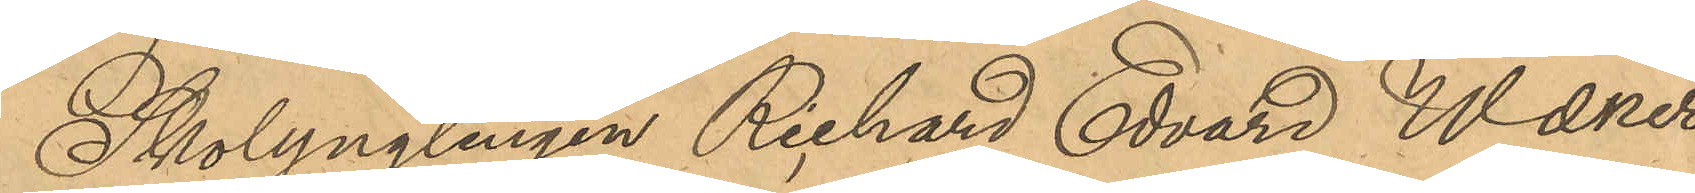Skolyngelingen Richard Edvard Waener¬
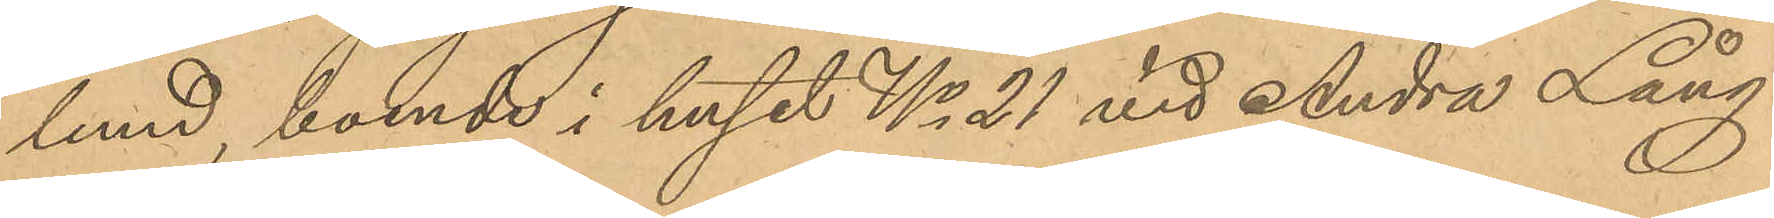lund, boende i huset No 21 vid Andra Lång¬
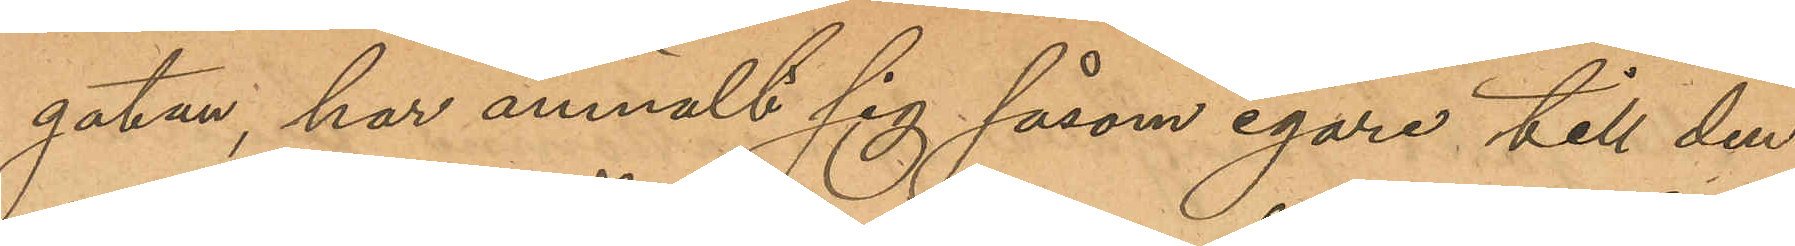gatan, har anmält sig såsom egare till den
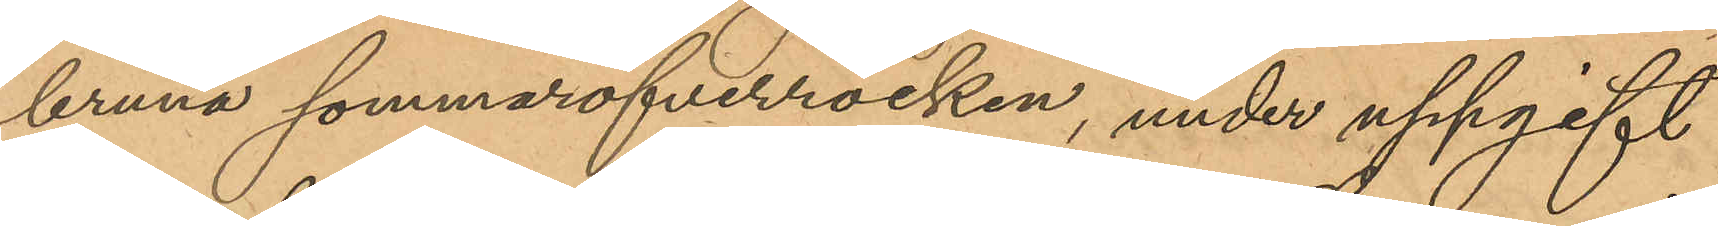bruna sommaröfverrocken, under uppgift
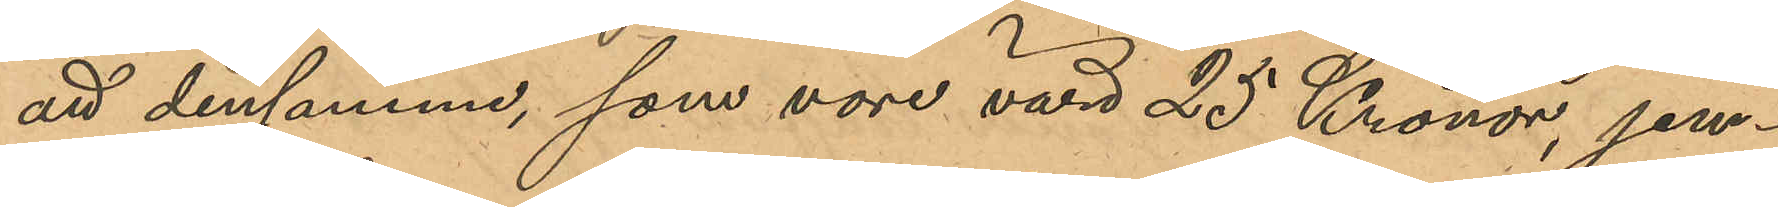att densamma, som vore värd 25 Kronor, jem¬
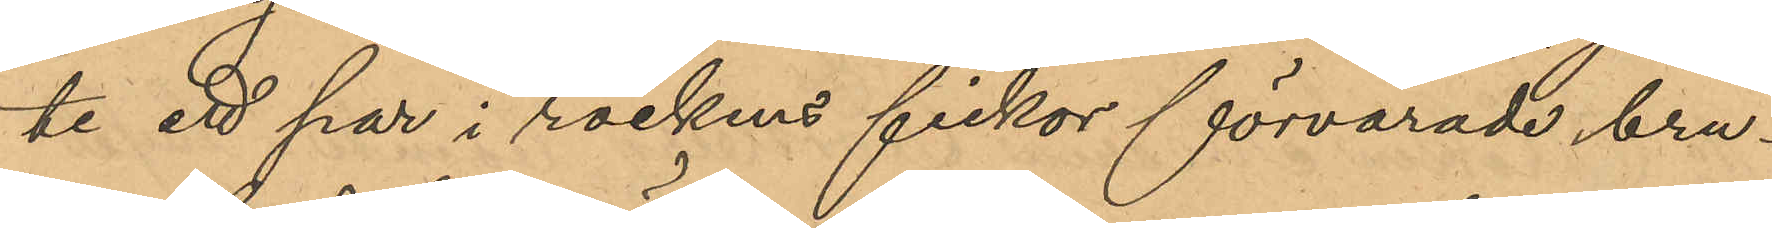te ett par i rockens fickor förvarade bru¬
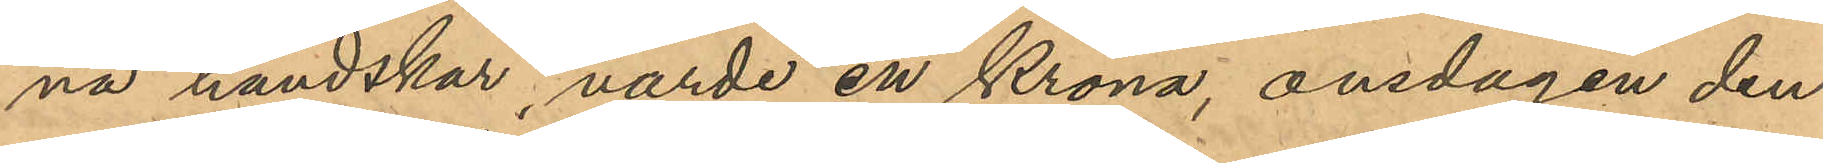na handskar, värde en Krona, onsdagen den
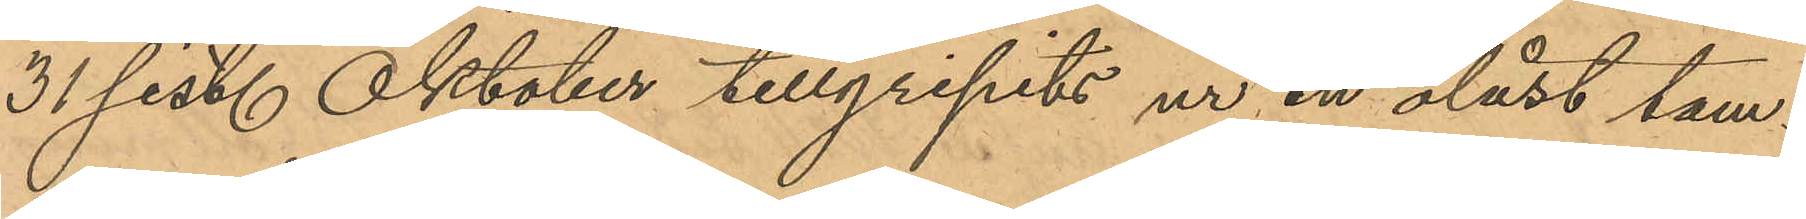31 sist. Oktober tillgripits ur en olåst tam¬
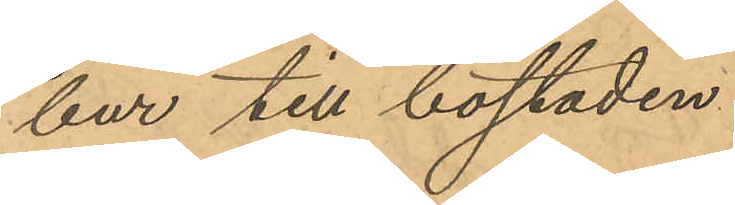bur till bostaden.
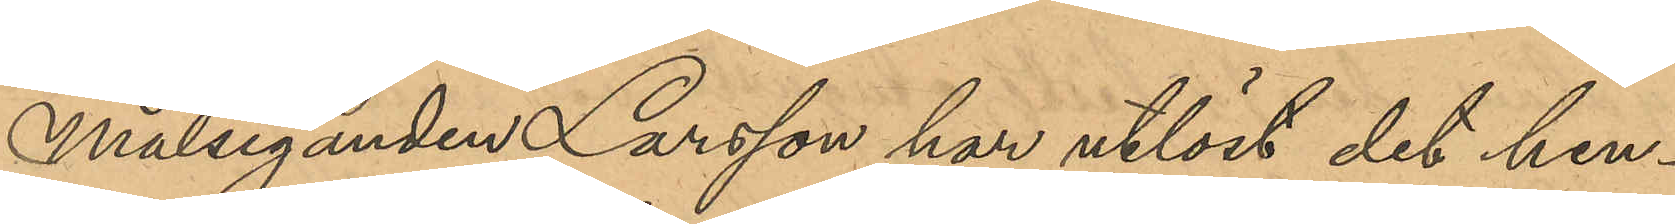Målseganden Larsson har utlöst det hen¬
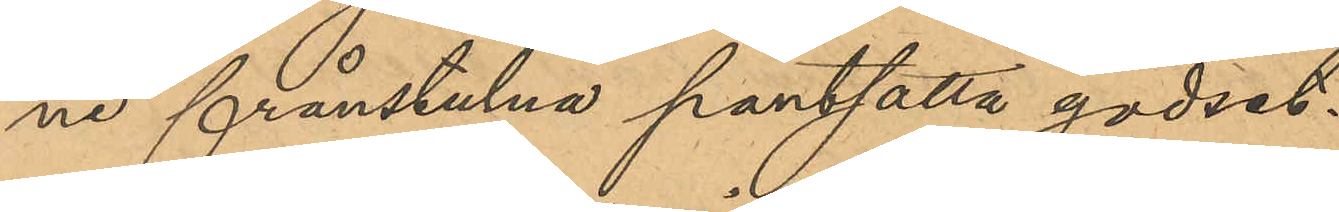ne frånstulna pantsatta godset.
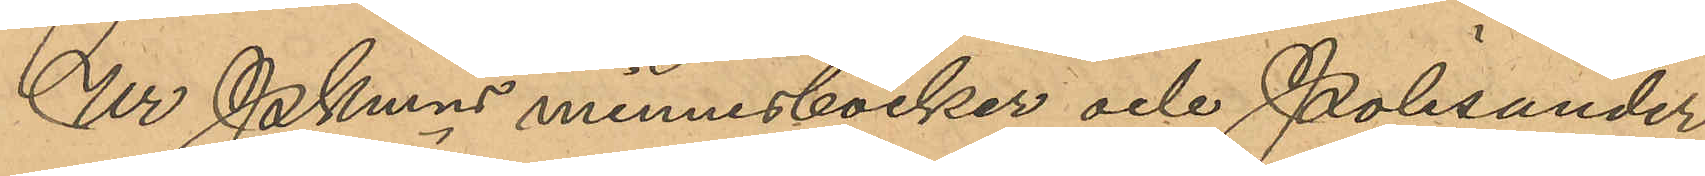Ur PKmns minnesböcker och Polisunder¬
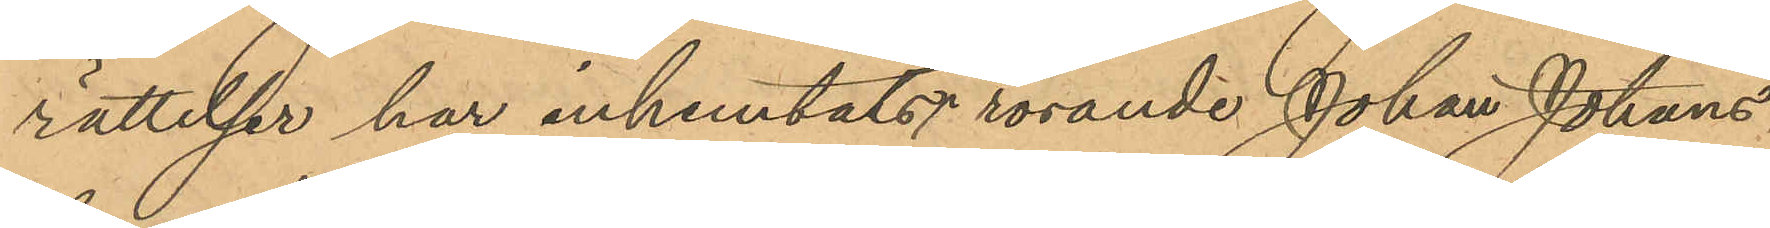rättelser har inhemtats rörande Johan Johans¬
